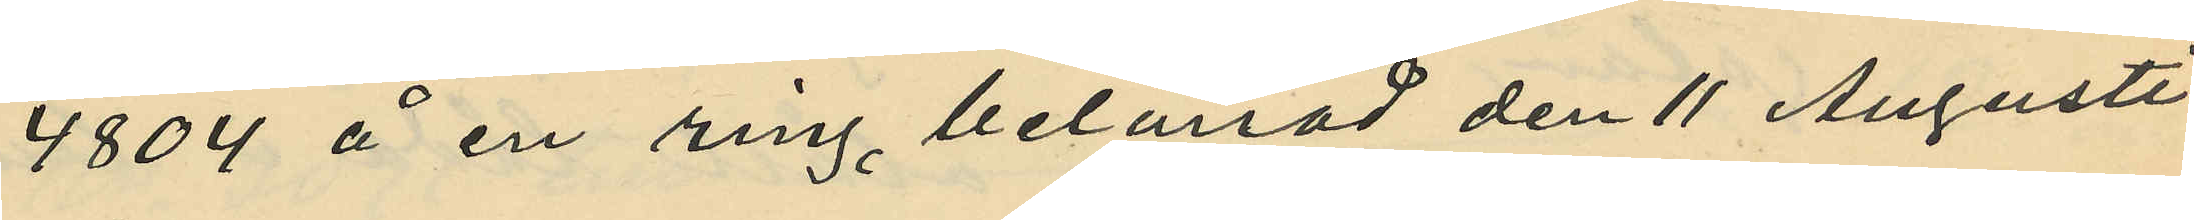4804 å en ring belånad den 11 Augusti
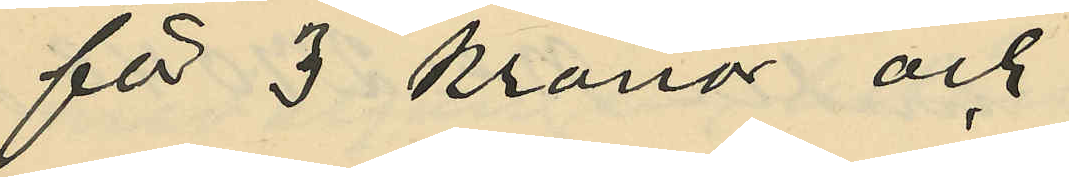för 3 kronor och
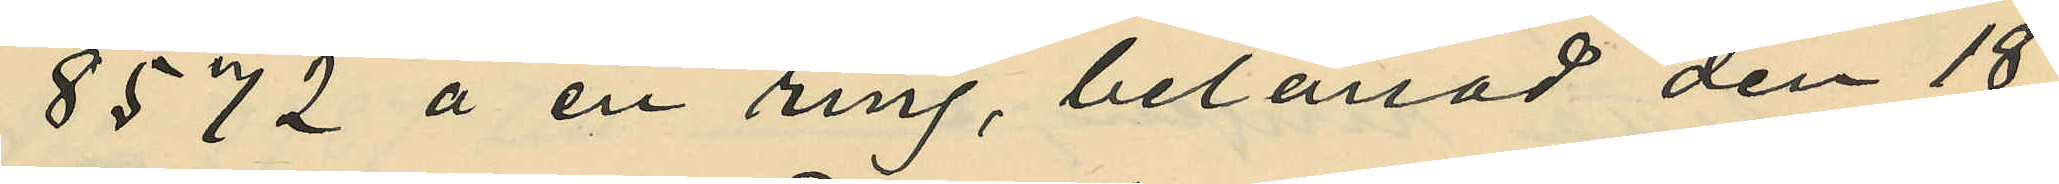8572 å en ring, belånad den 18
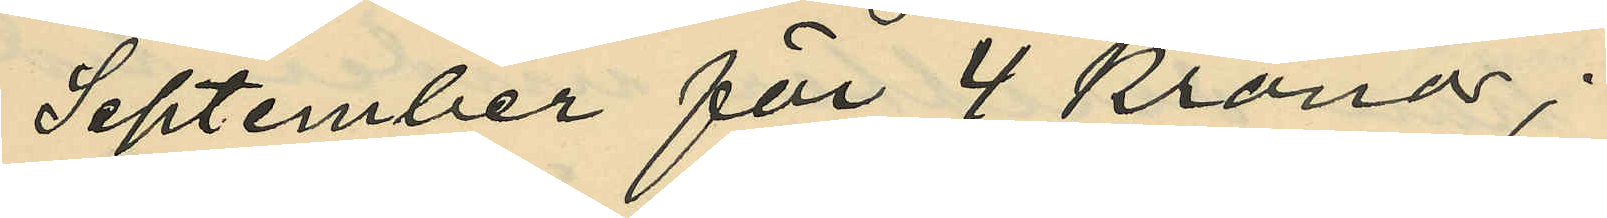September för 4 kronor;
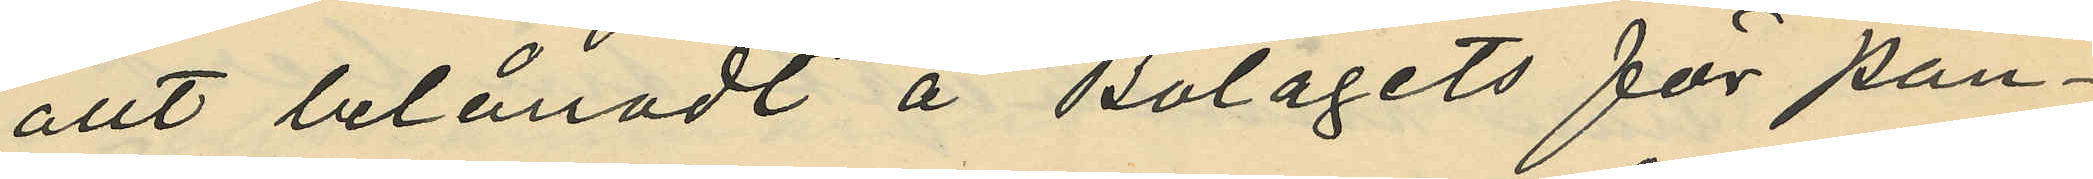allt belånadt å Bolagets för pan¬
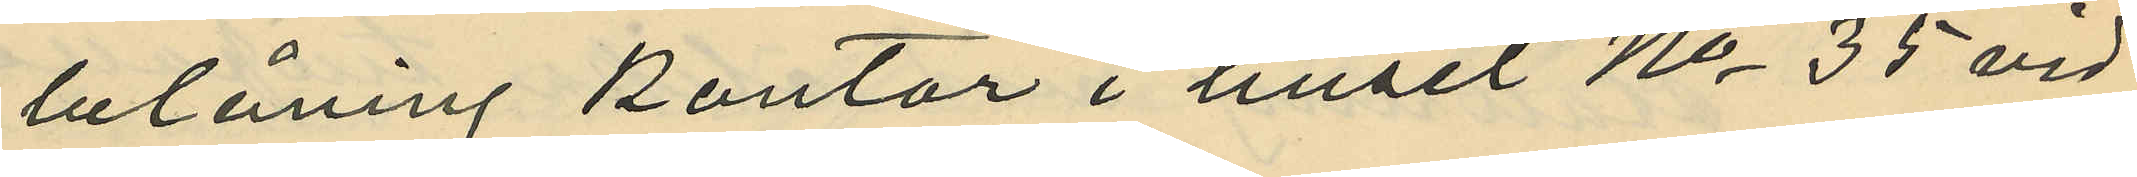belåning kontor i huset No 35 vid
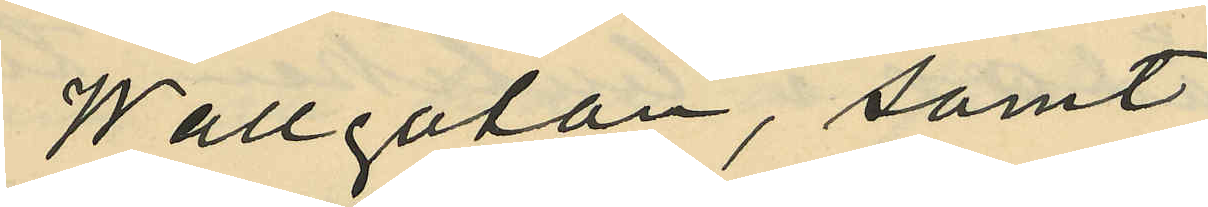Wallgatan, samt
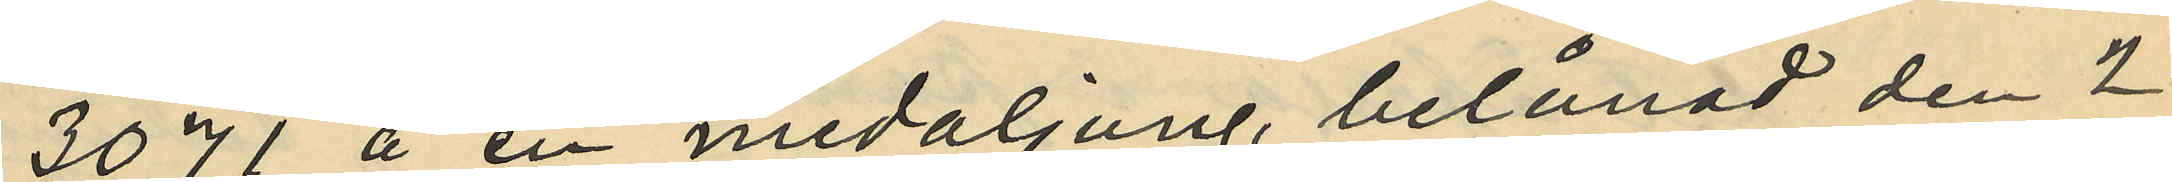3071 å en medaljong, belånad den 2
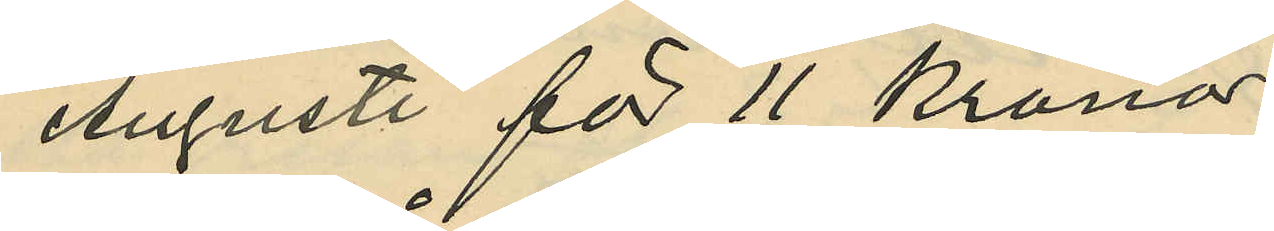Augusti för 11 Kronor;
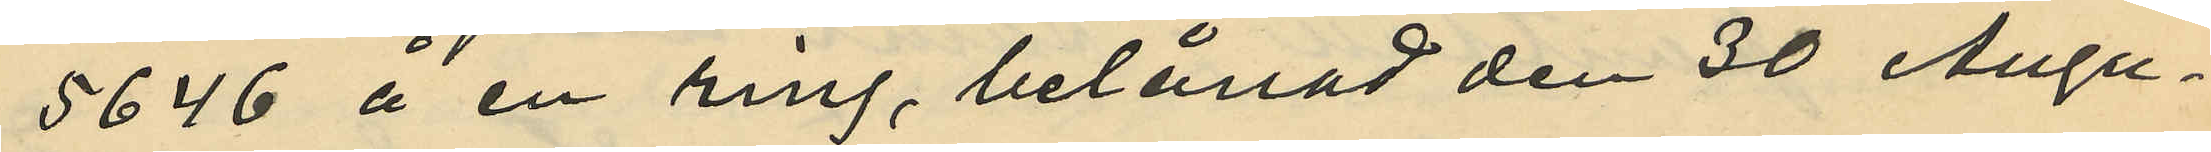5646 å en ring, belånad den 30 Augu¬
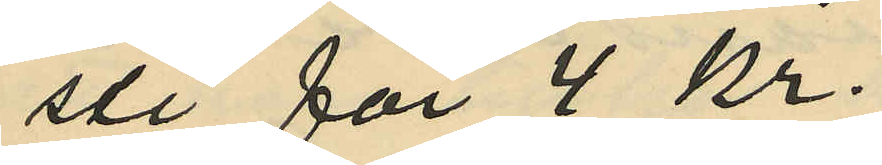sti för 4 kr.
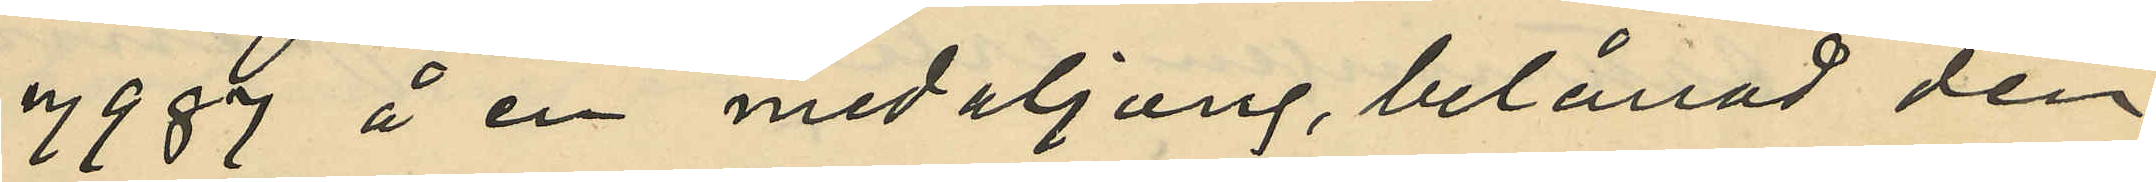7987 å en medaljong, belånad den
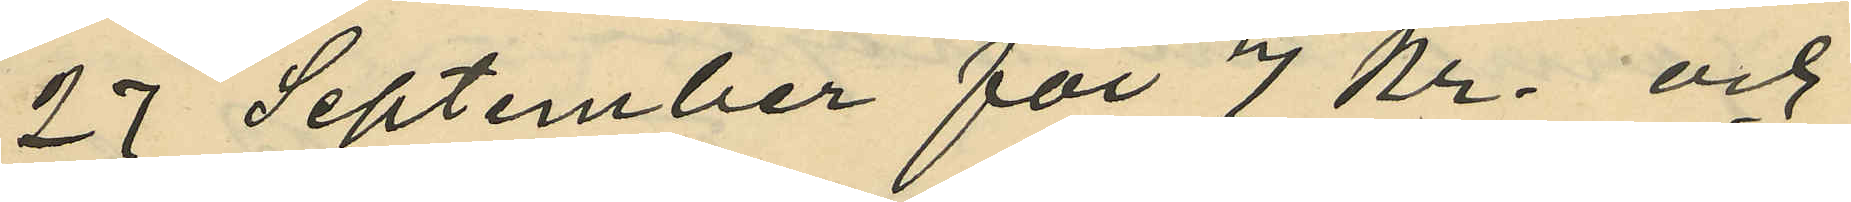27 September för 7 Kr. och
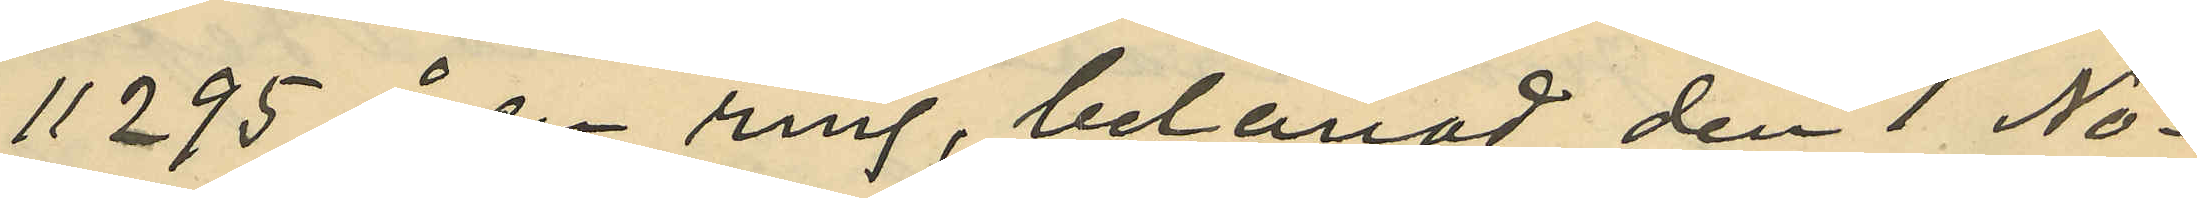11295 å en ring, belånad den 1 No¬
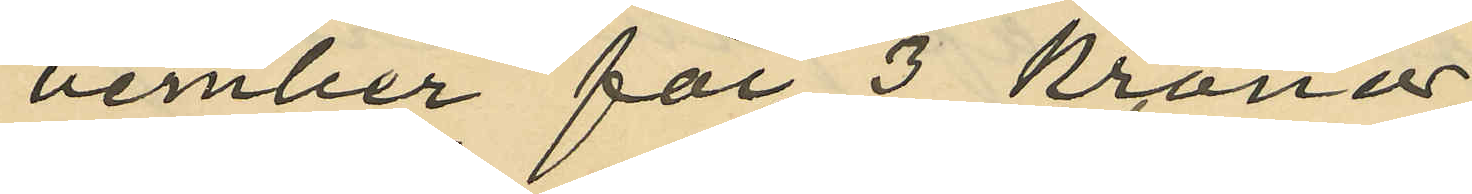vember för 3 kronor
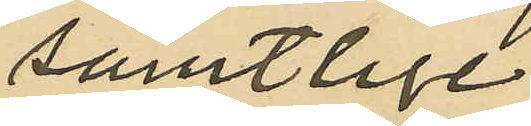samtlige
